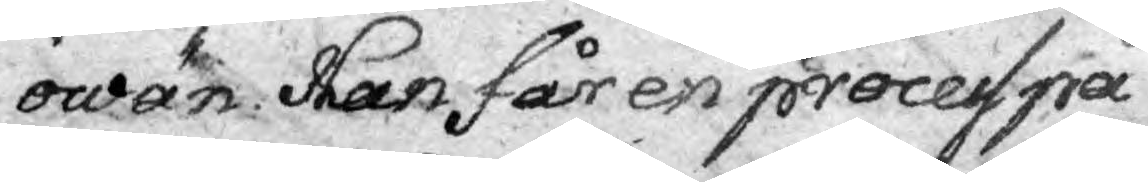owän. Han får en process på
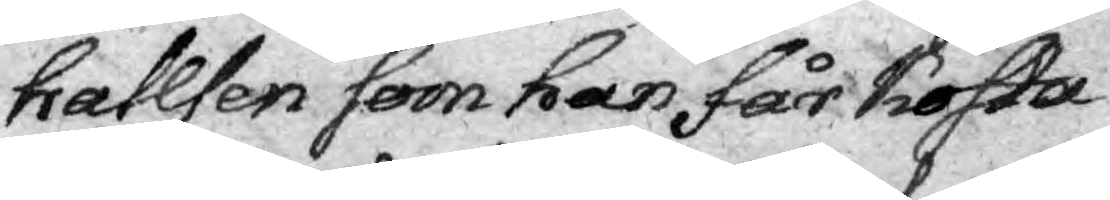hahlsen som han får kosta
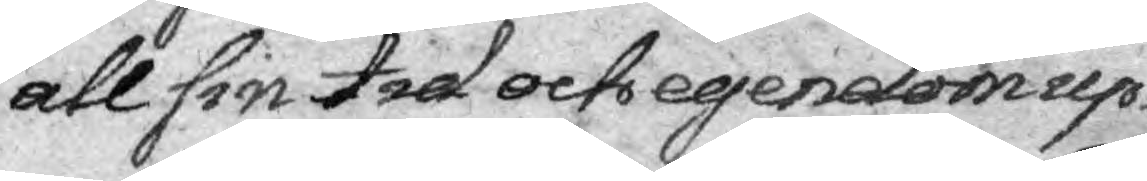all sin tid och egendom up¬
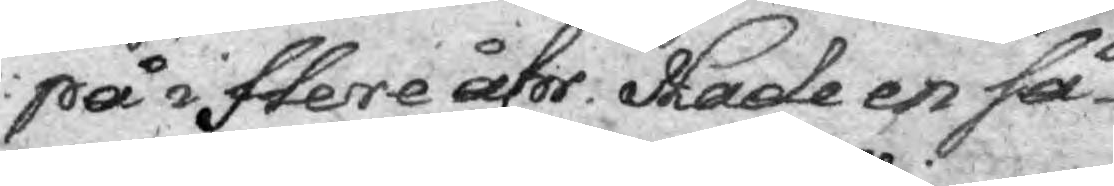på i flere åhr. Hade en så¬
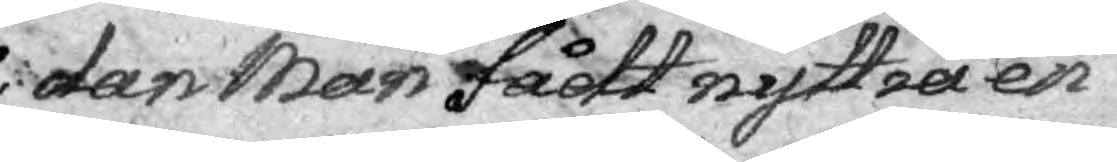dan Man fådt nyttia en
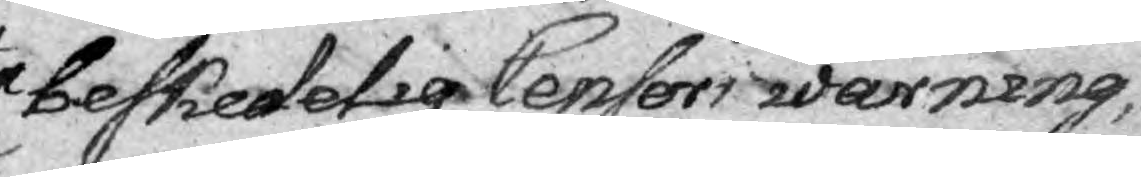beskedelig Censors warning,
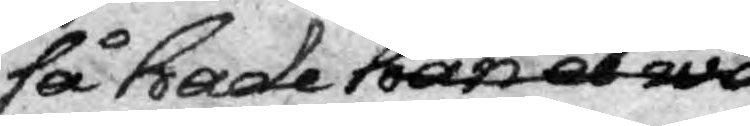så hade han en wo
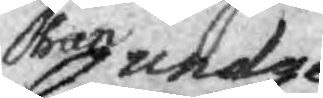han undergådt
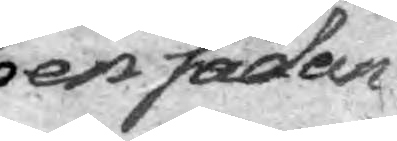en sådan
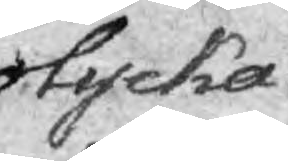olycka.
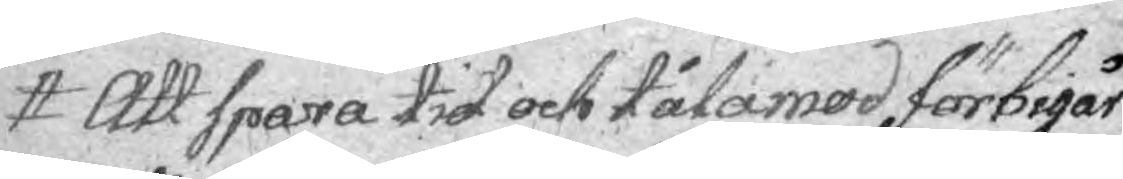Att spara tid och tålamod förbigår
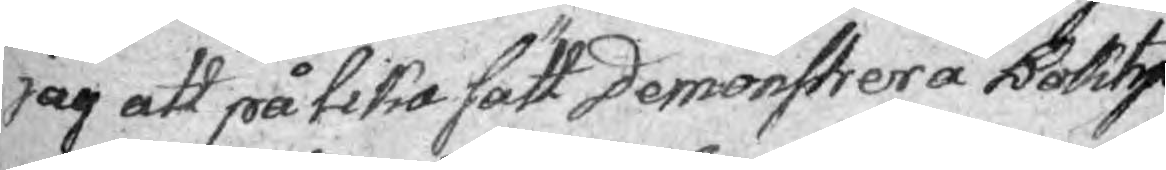jag att på lika sätt Demonstrera Bohtry¬
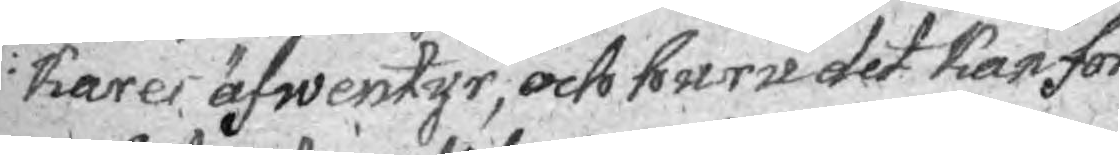kares äfwentyr, och huru det kan för
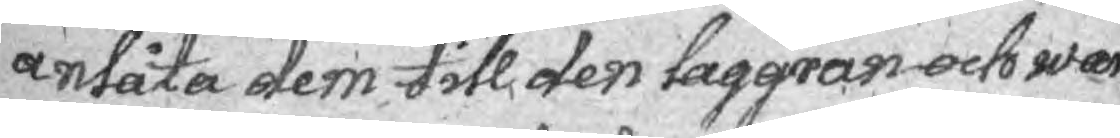anlåta dem till den laggran och war¬
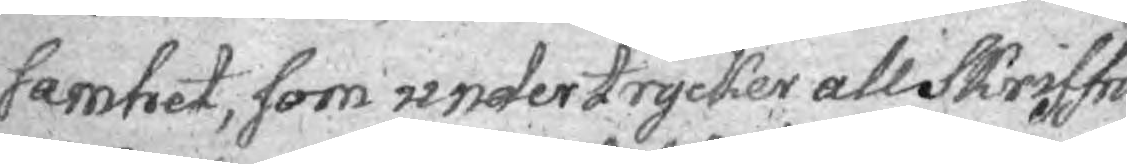samhet, som undertrycker all Skriffri¬
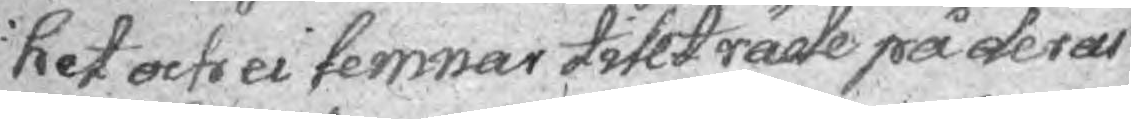het och ei lemnar tillträde på deras
